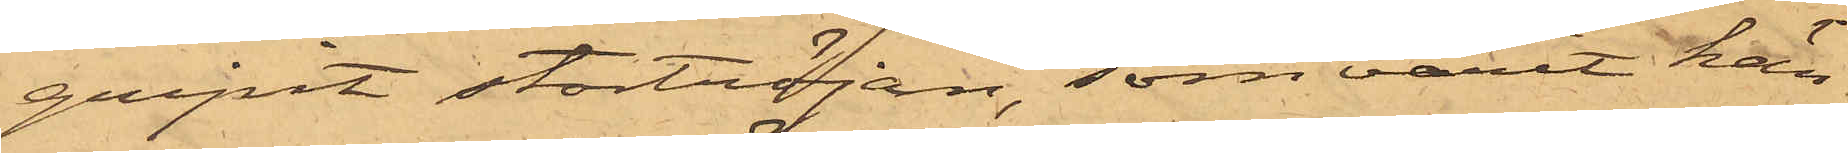gripit stortröjan, som varit hän¬
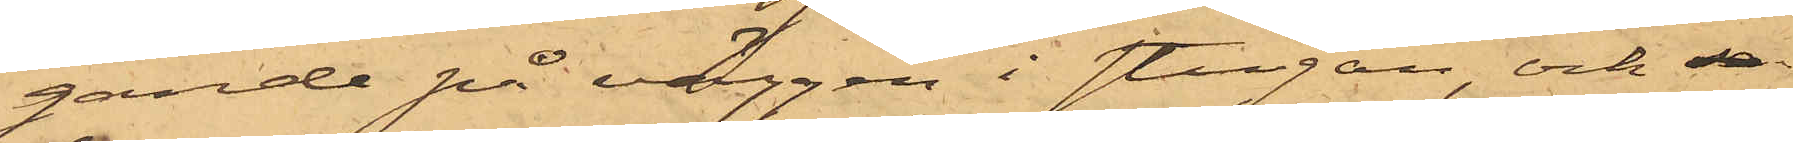gande på väggen i stugan, och se
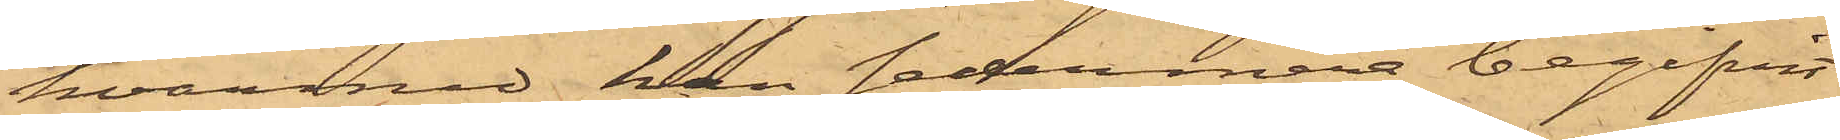hvarmed han sedermera begifvit
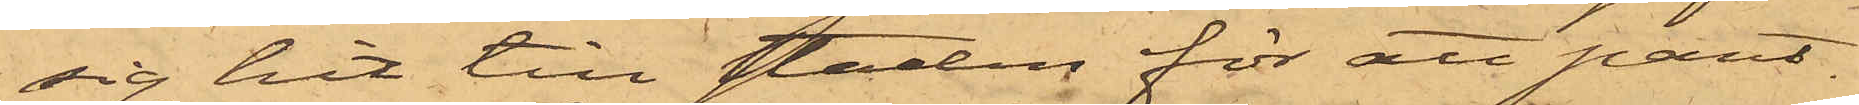sig hit till staden för att pant¬
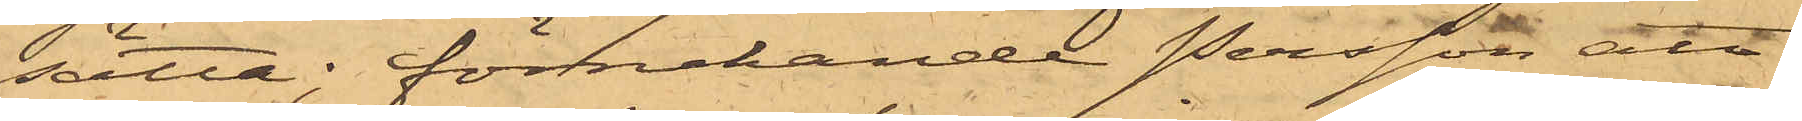sätta; förnekande Persson att
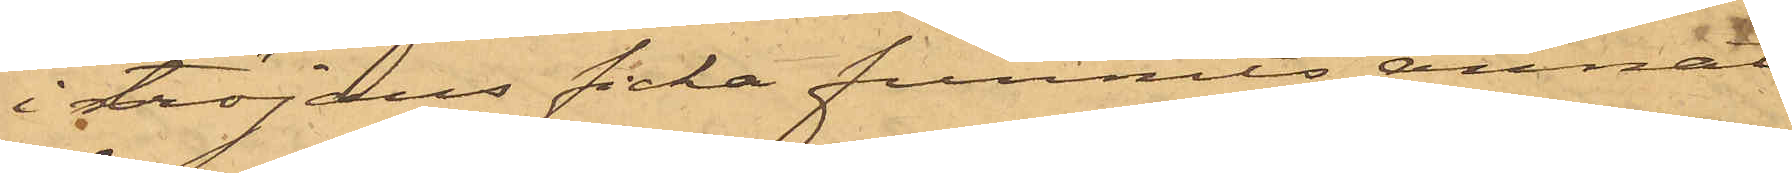i tröjans ficka funnits annat
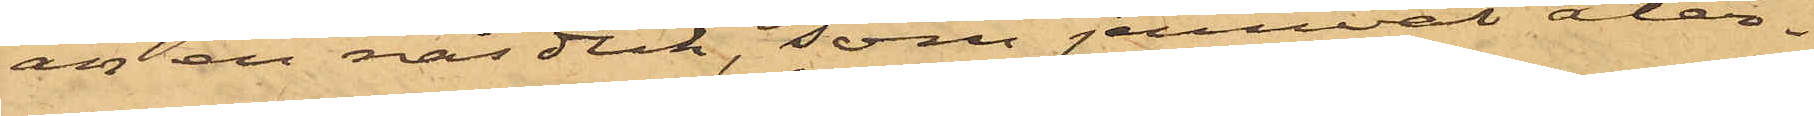än en näsduk, som jemväl åter¬
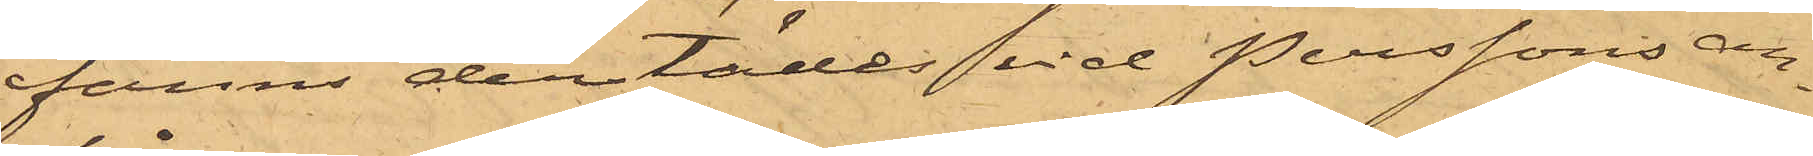fanns derstädes vid Perssons an¬
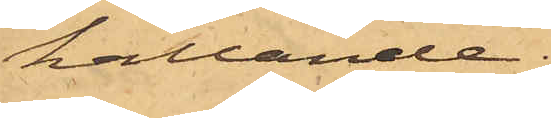hållande.
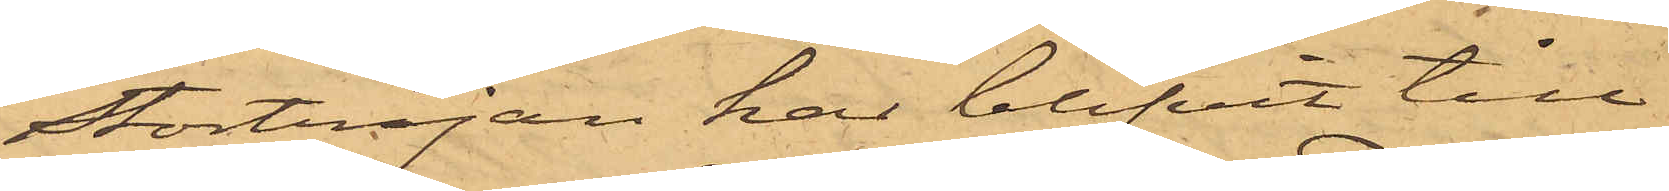Stortröjan har blifvit till
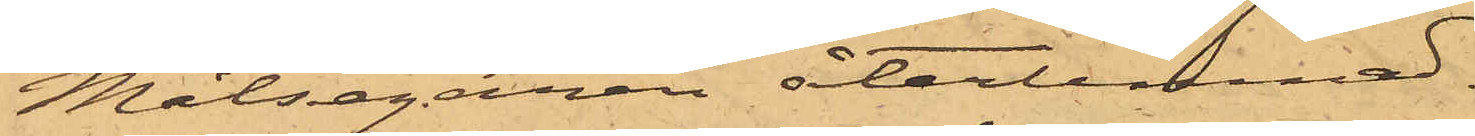Målsegaren återlemnad.
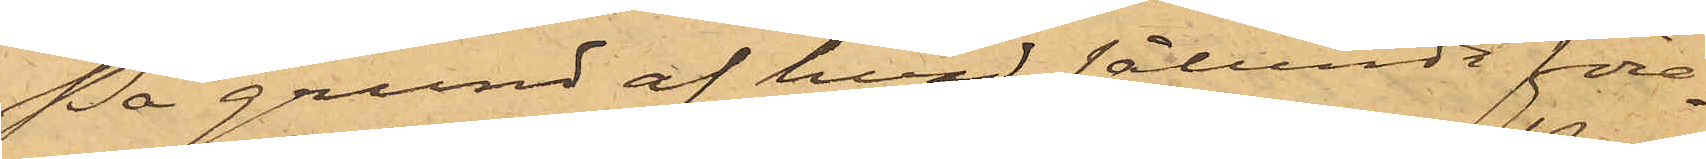På grund af hvad sålunda före¬
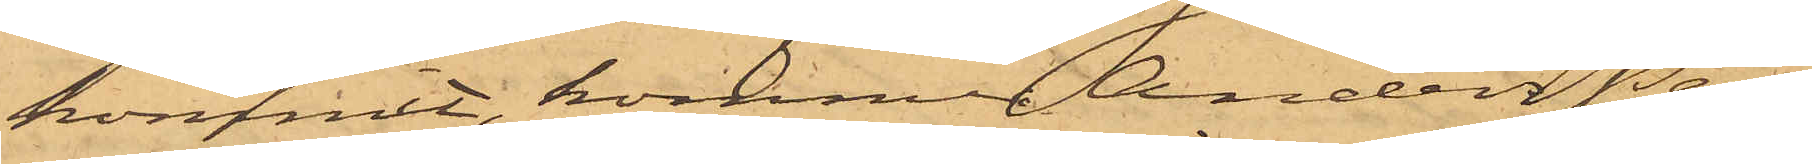kommit, kommer Anders Pers¬
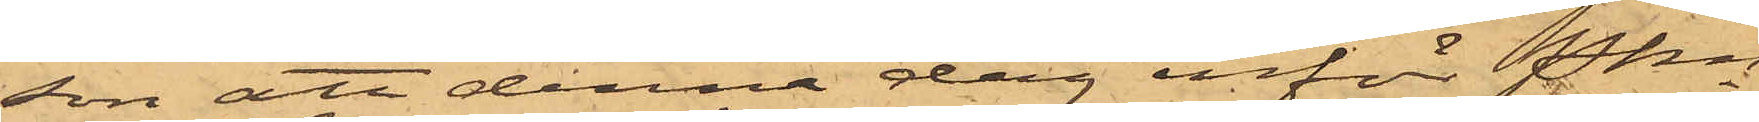son att denna dag inför Pkn
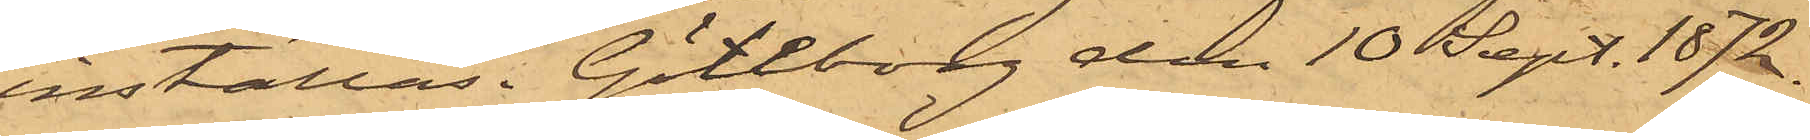inställas. Göteborg den 10 Sept. 1872.
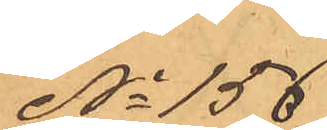No 156
